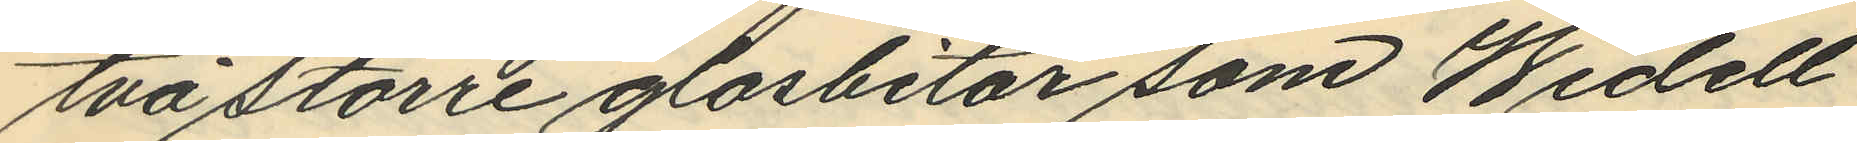två större glasbitar som Widell
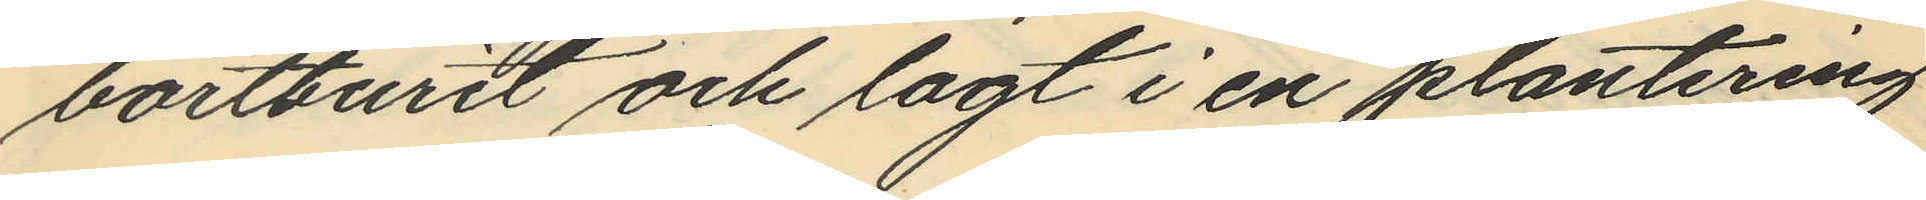bortburit och lagt i en plantering
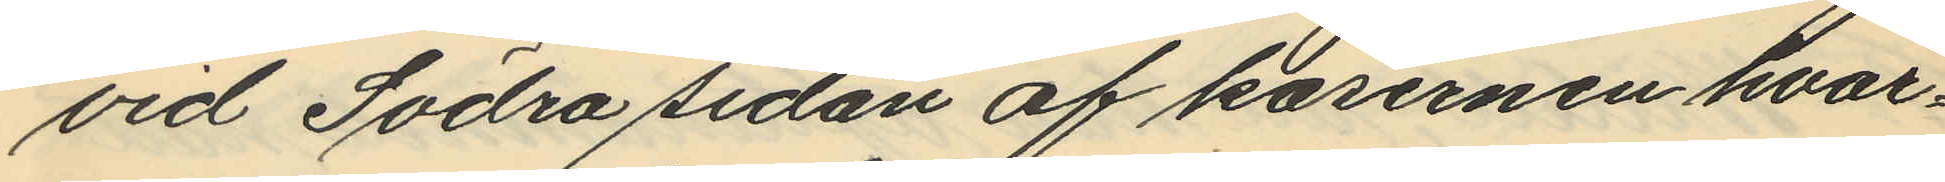vid Södra sidan af kasernen hvar¬
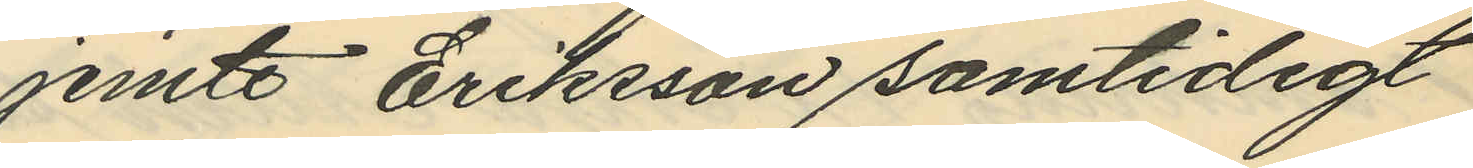jemte Eriksson samtidigt
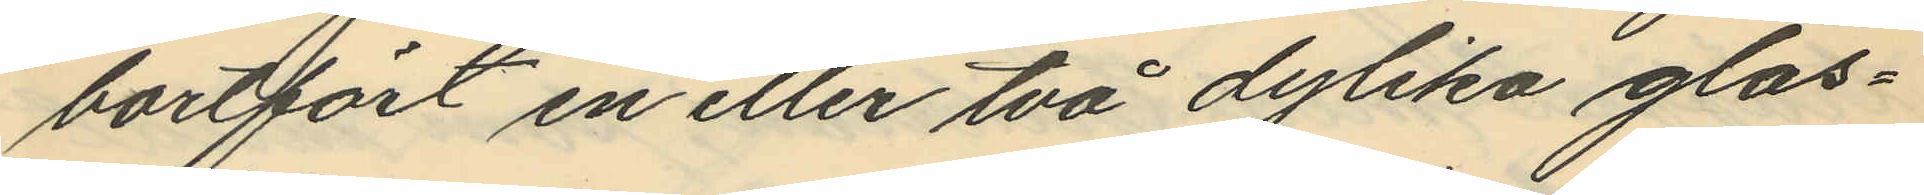bortfört en eller två dylika glas¬
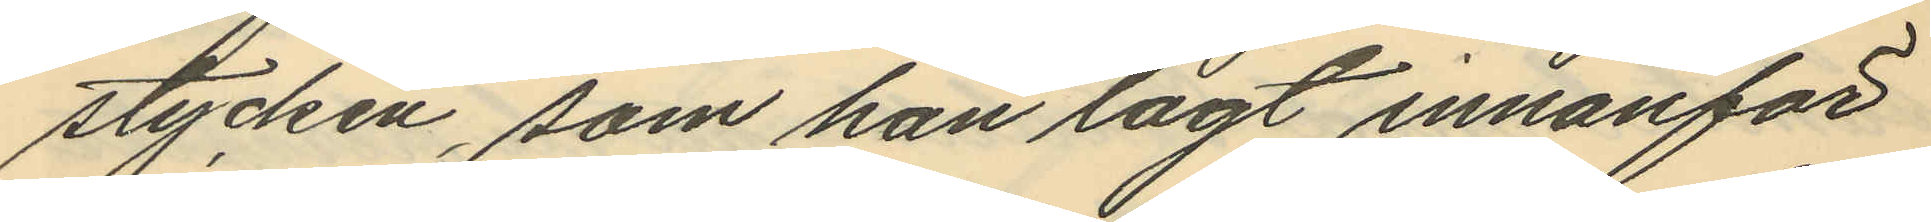stycken, som han lagt innanför
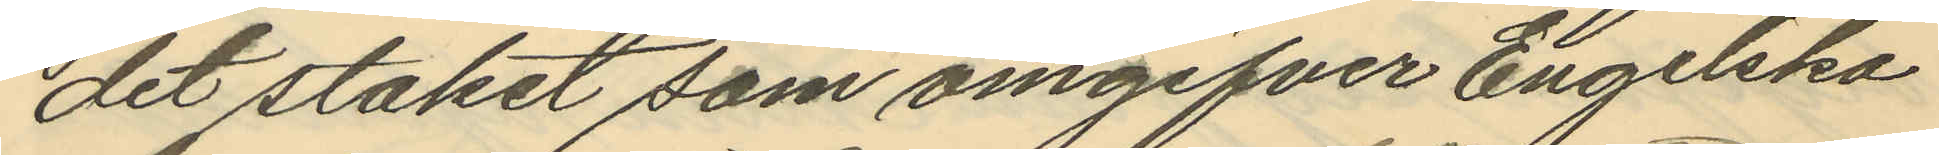det staket som omgifver Engelska
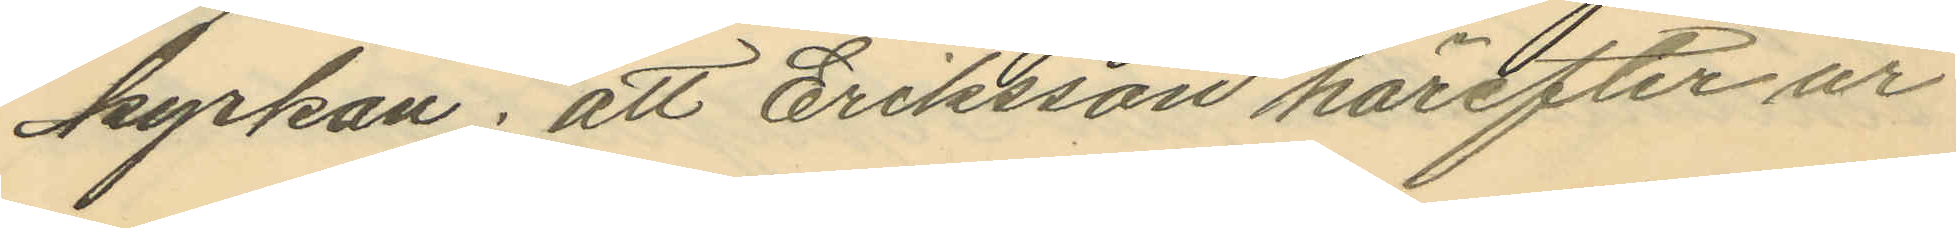kyrkan; att Eriksson härefter ur
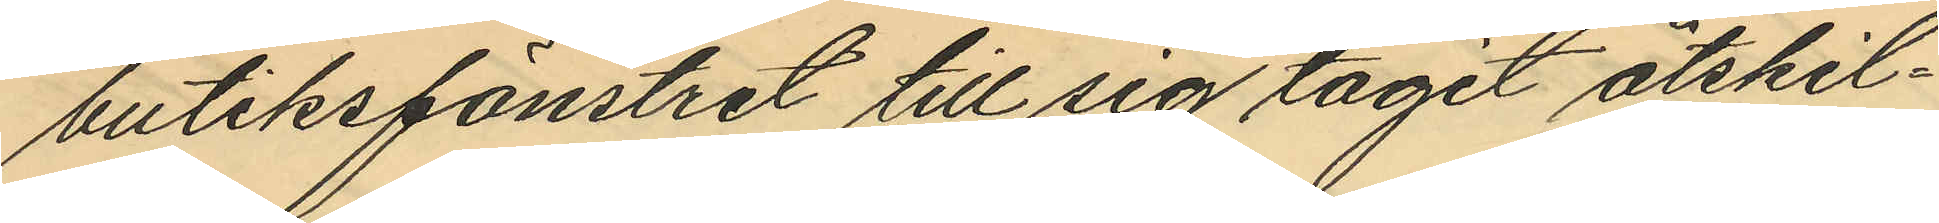butiksfönstret till sig tagit åtskil¬
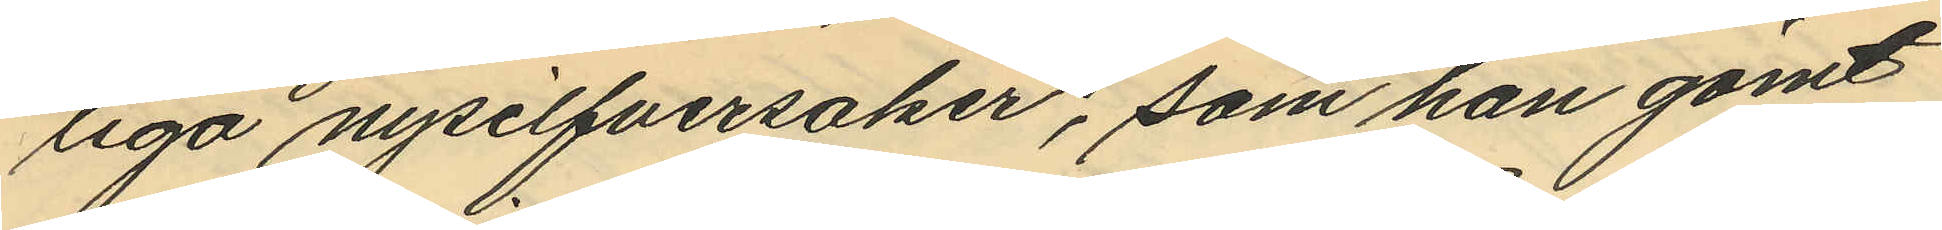liga nysilfversaker, som han gömt
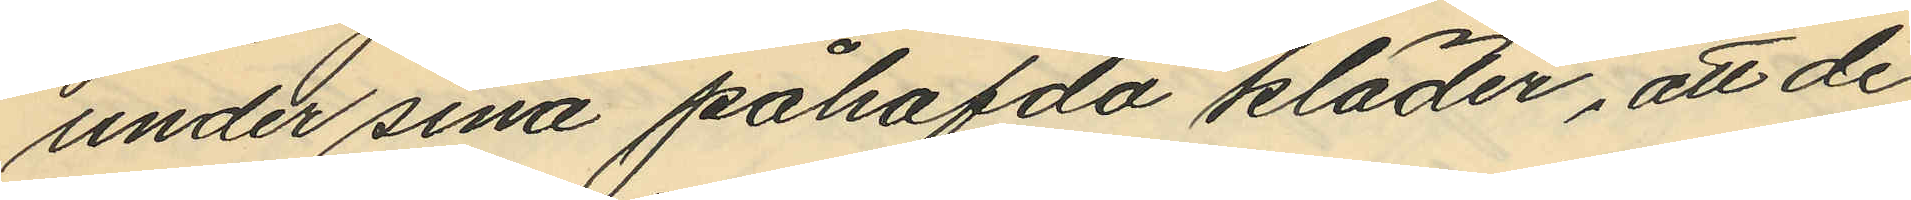under sina påhafda kläder, att de
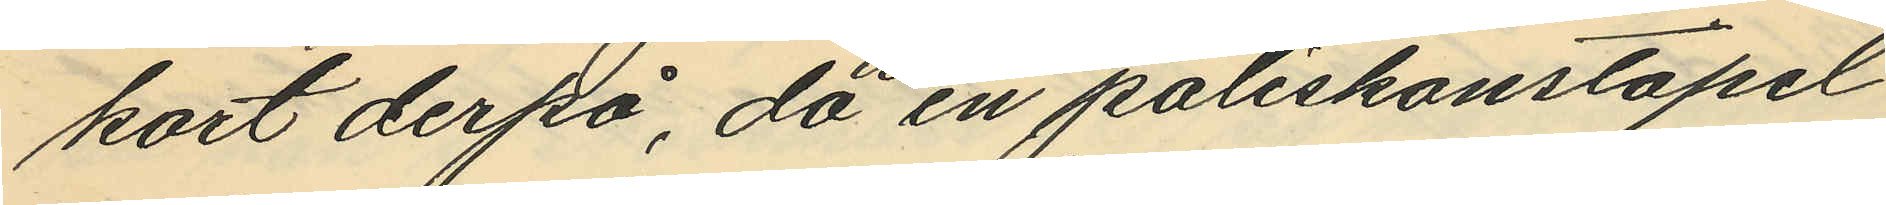kort derpå, då en poliskonstapel
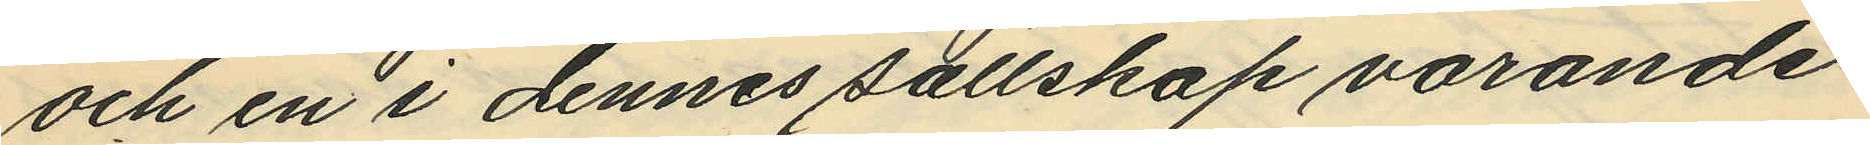och en i dennes sällskap varande
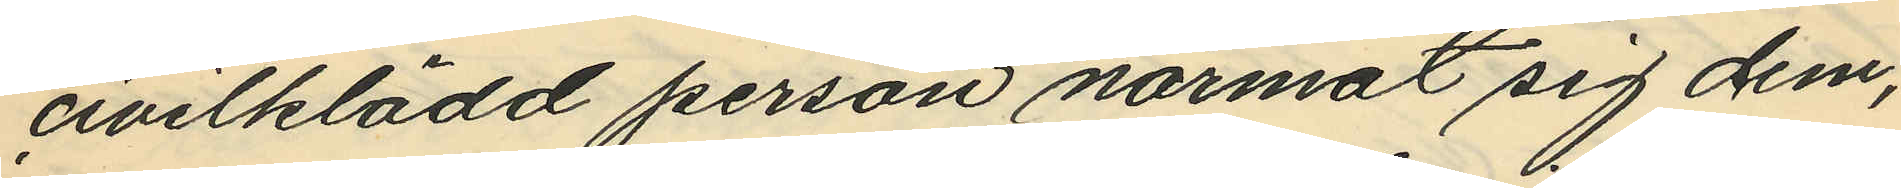civilklädd person närmat sig dem,
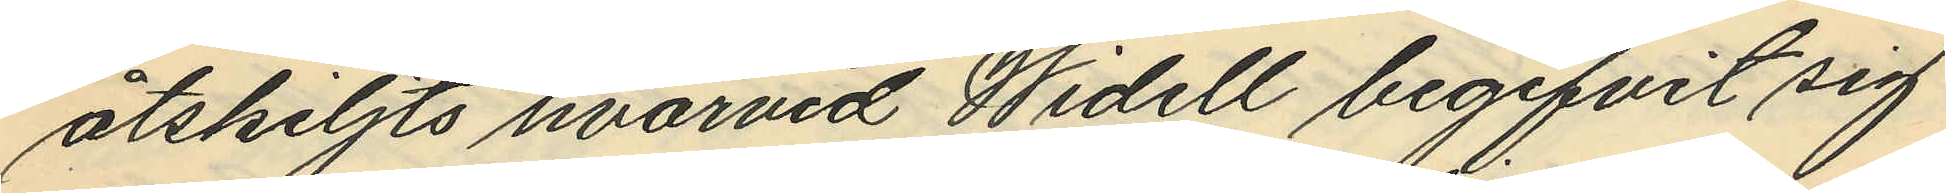åtskiljts hvarvid Widell begifvit sig
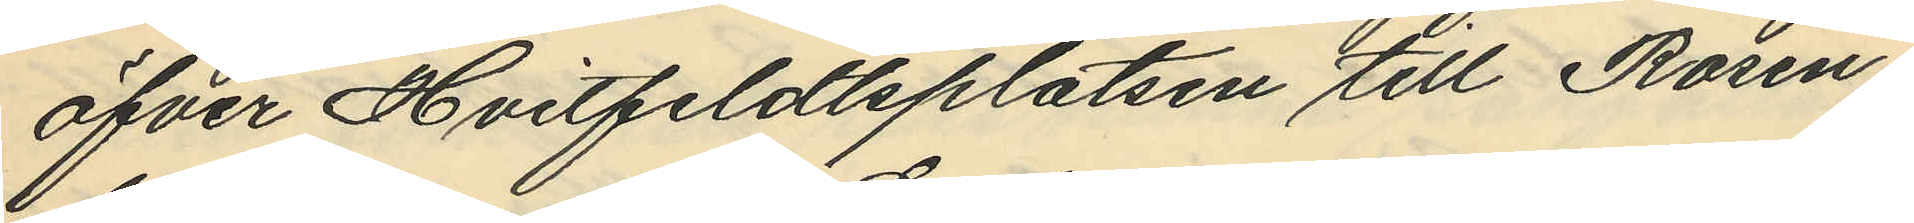öfver Hvitfeldtsplatsen till Rosen¬
